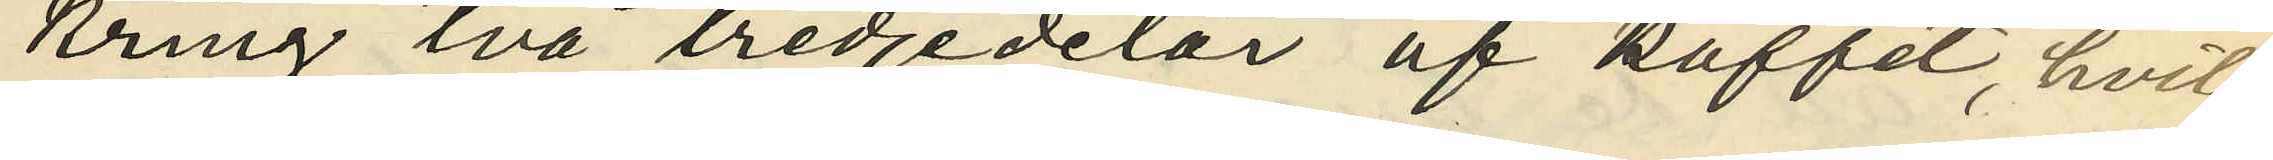kring två tredjedelar af kaffet, hvil¬
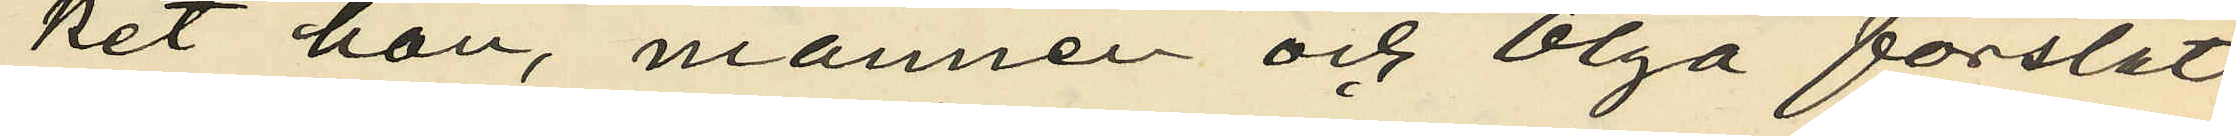ket hon, mannen och Olga forslat
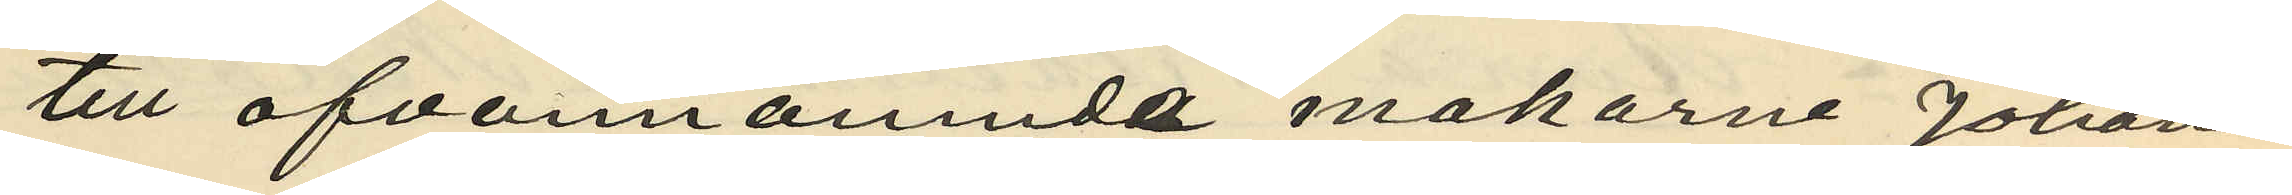till ofvannämnde makarne Johans¬
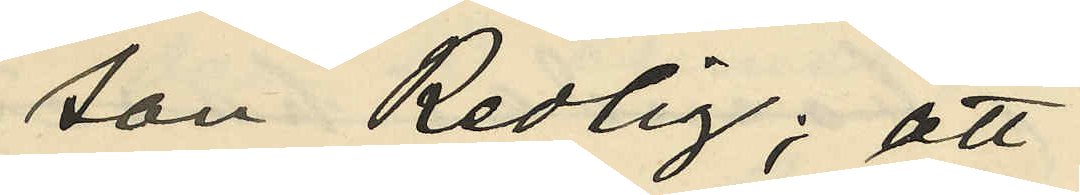son Redlig; att
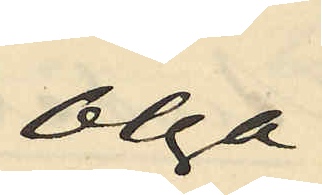Olja
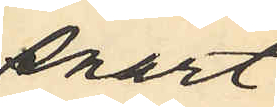snart
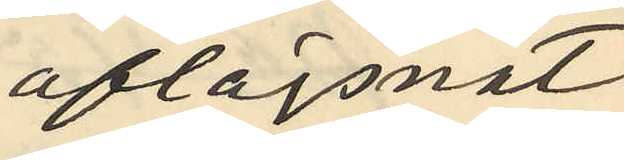aflägsnat
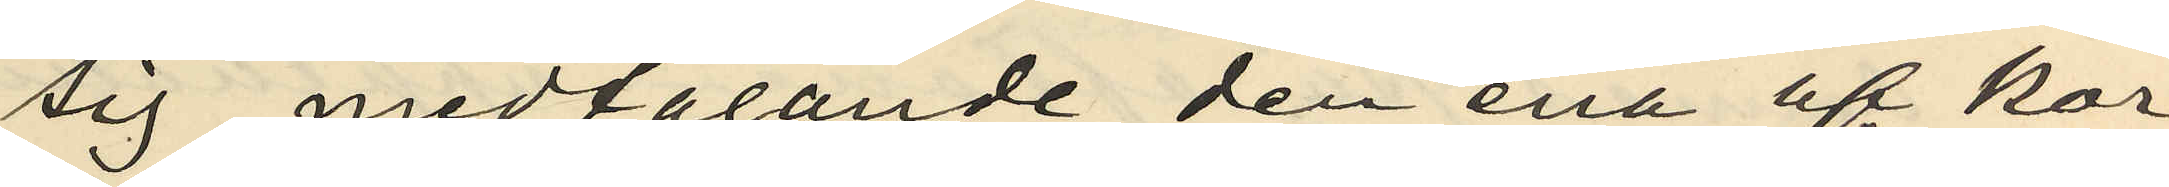sig medtagande den ena af kor¬
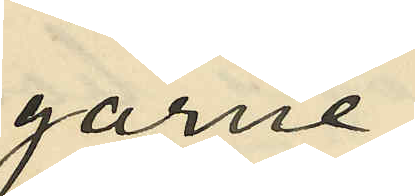garne,
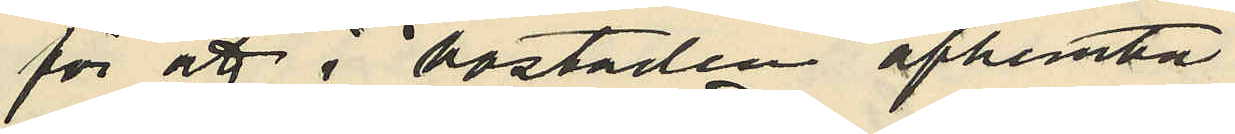för att i bostaden afhemta
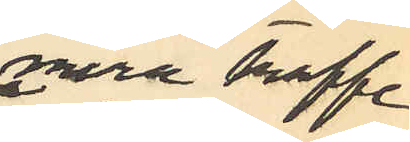mera kaffe
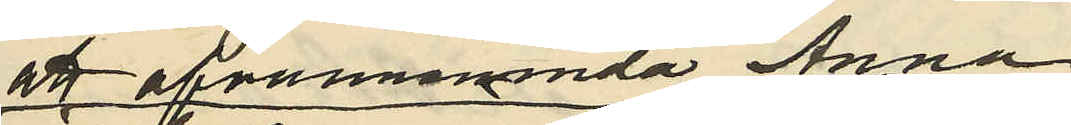af ofvannämnda Anna
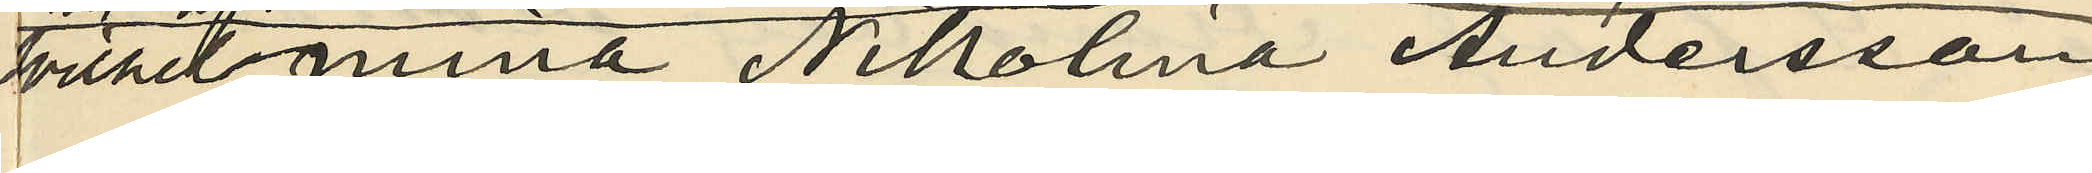Wilhelmina Nikolina Andersson
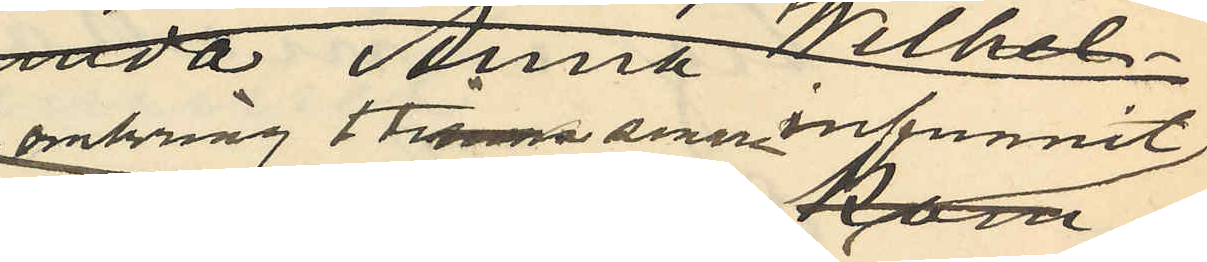 omkring 1 timma senare infunnit
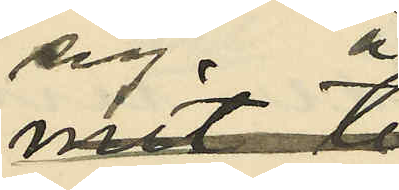sig å
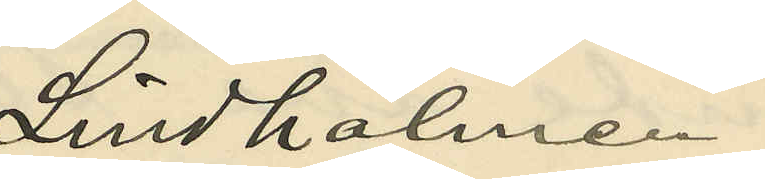Lindholmen
